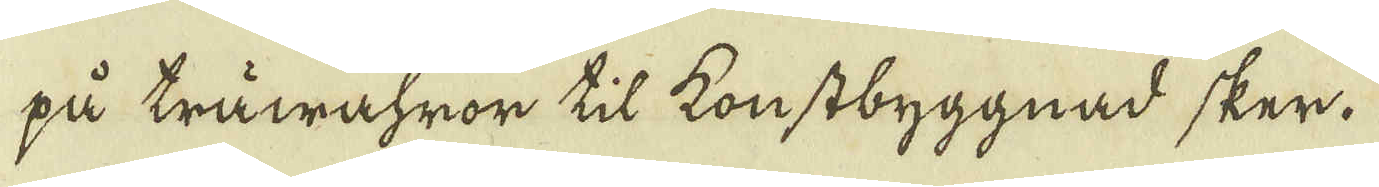gå träwähror til konstbyggnad sker.
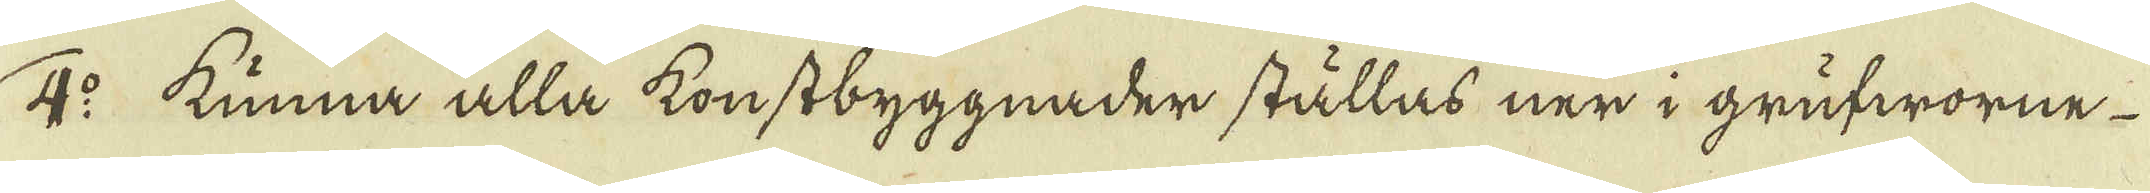2:o kunna alla konstbyggnader ställas ner i grufworne
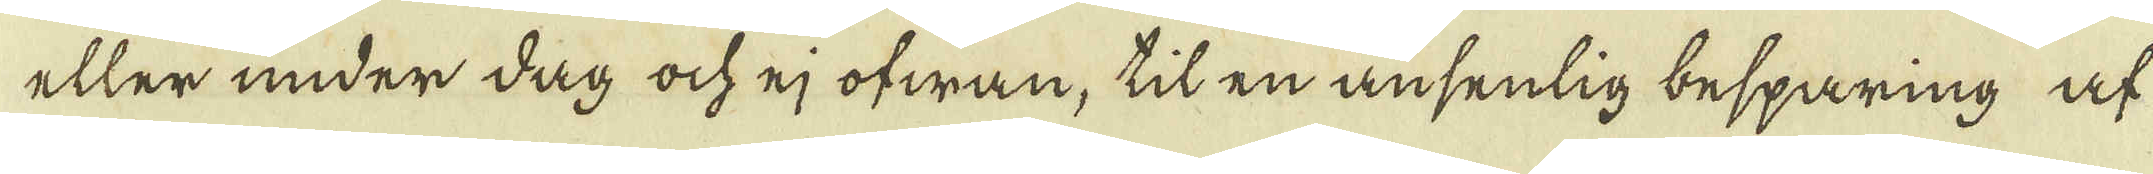eller under dag ock ej ofwan, til en ansenlig besparing at
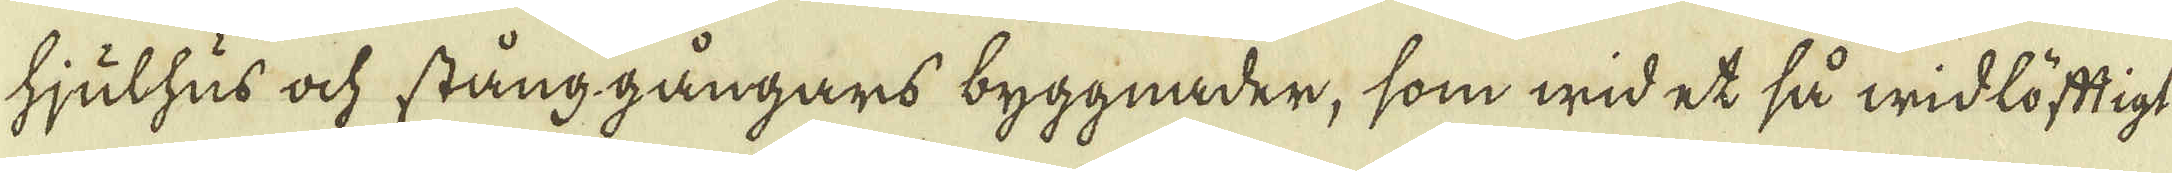hjulhus ock stång gångars byggnader, som wid et så widlöftigt
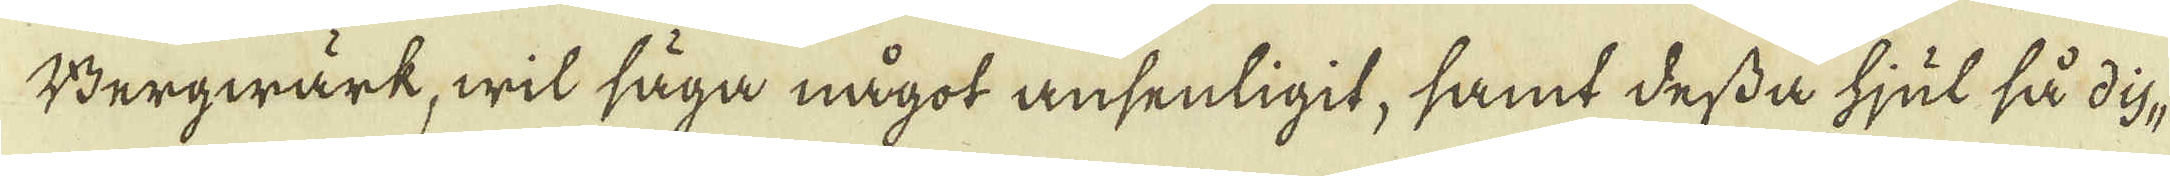Bergwärk, wit säga något ansenligit, samt dessa hjul så dis-
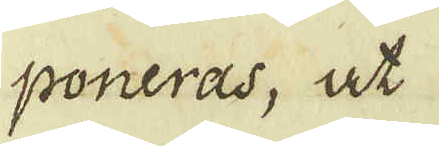soneras, at
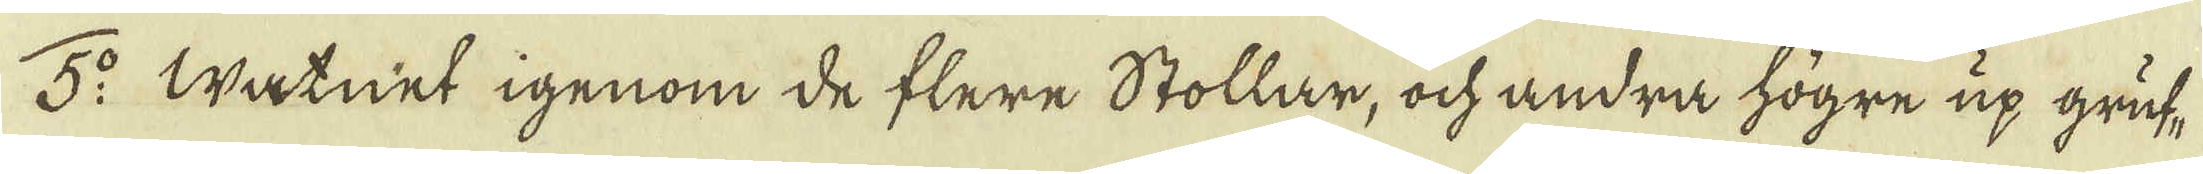5:o Watnet igenom de flere Stollar, ock andra högre up gruf-
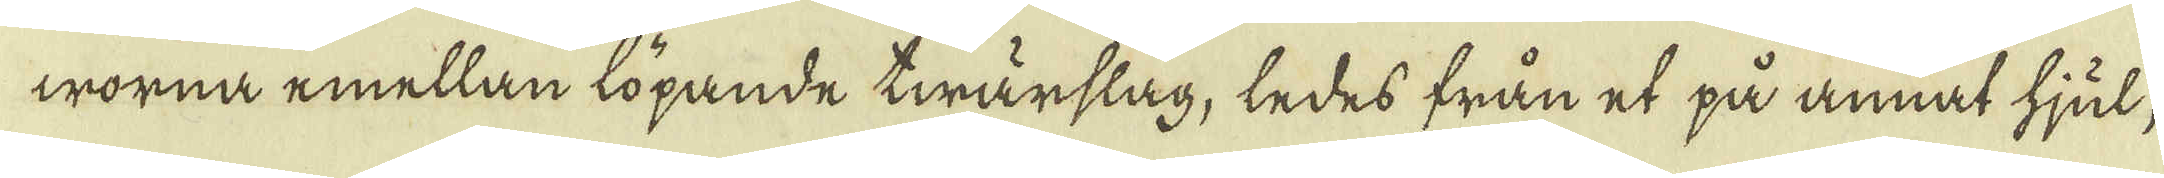worna emellan löpande twärslag, ledes från et på annat hjul,
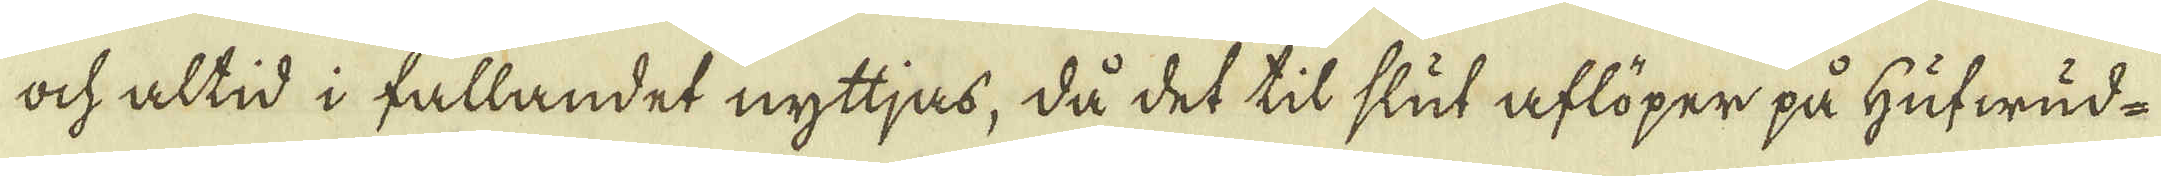ock altid i fallandet nyttjas, då det til slut aflöper på hufwud-
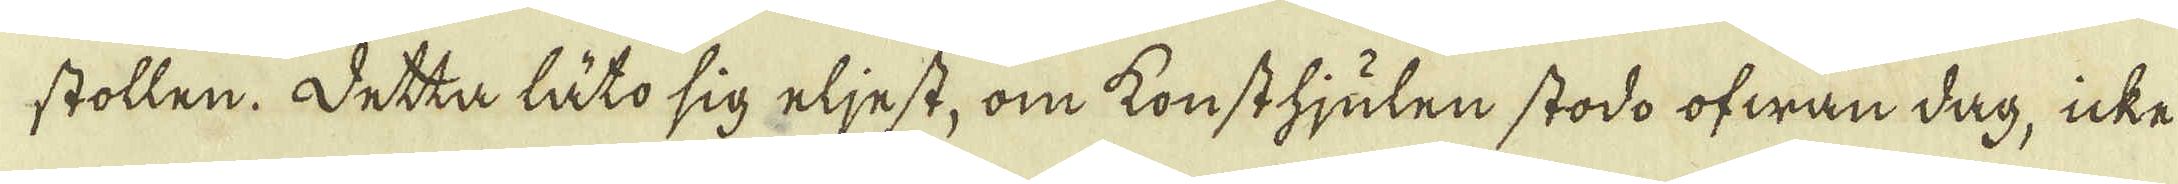stollen. Detta låto sig eljest, om konst hjulen stodo ofwan dag, icke
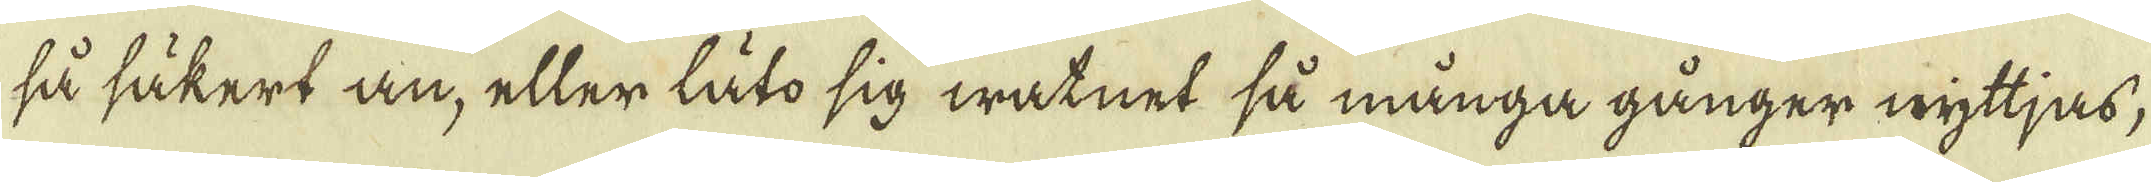så säkert än, eller låto sig watnet så många gånger nyttjas,
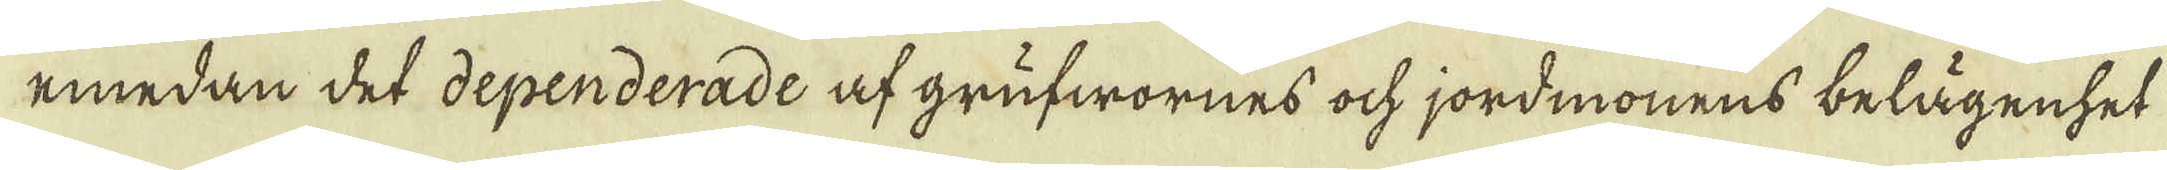emedan det dependerade af grufwornes ock jordmonens belägenhet
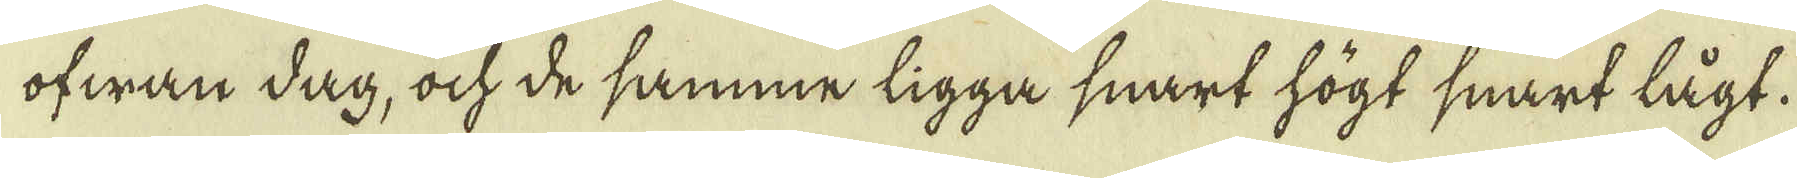ofwan dag, ock de samma ligga snart högt snart lägt.
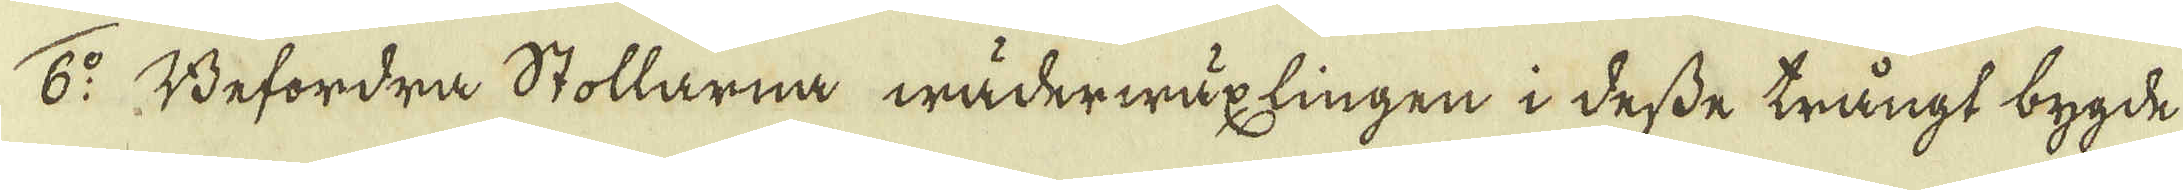6:o Befordra Stollarna wäderwäxlingen i desse trängt bygde
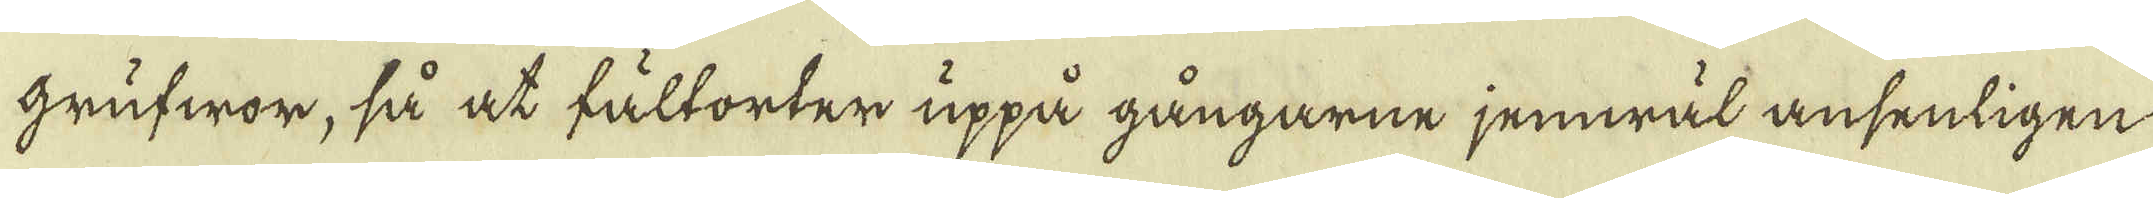grufwor, så at fältorter uppå gångarne jemwäl ansenligen
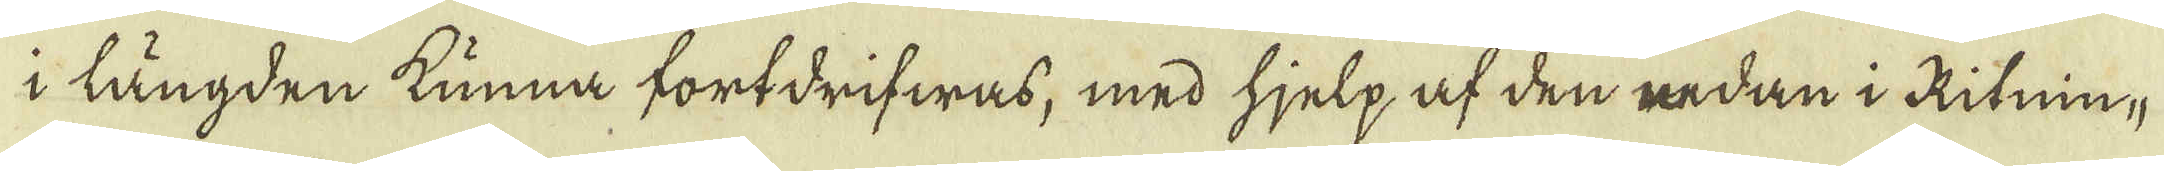i längden kunna fortdrifwas, med hjelp af den redan i Ritnin-
